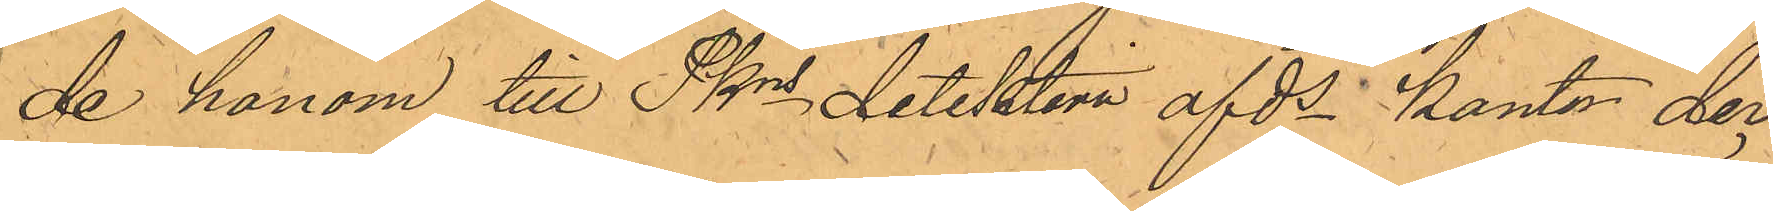de honom till Pkns detektiva afds kontor der
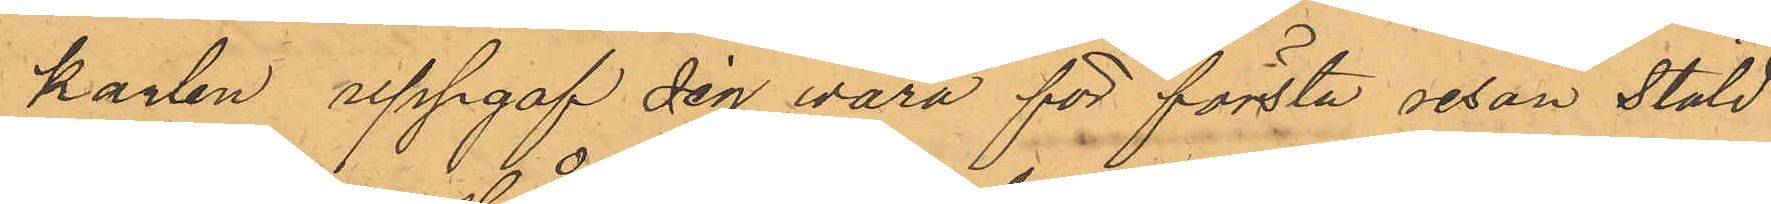karlen uppgaf sig vara för första resan stöld
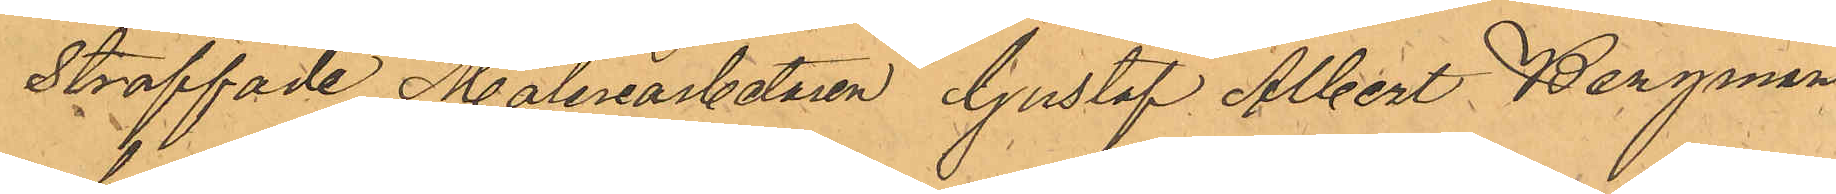straffade Måleriarbetaren Gustaf Albert Bergman
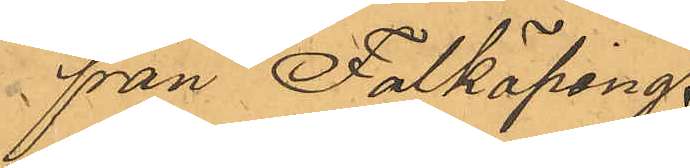från Falköping.
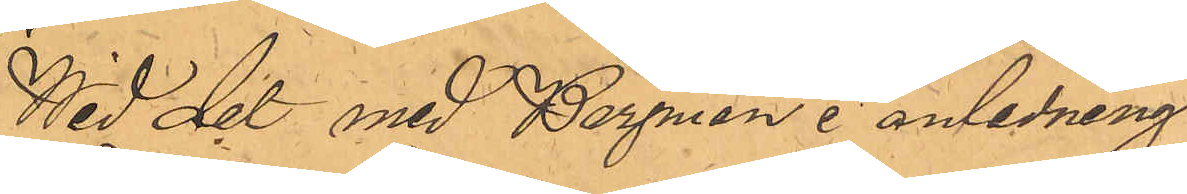Wid det med Bergman i anledning
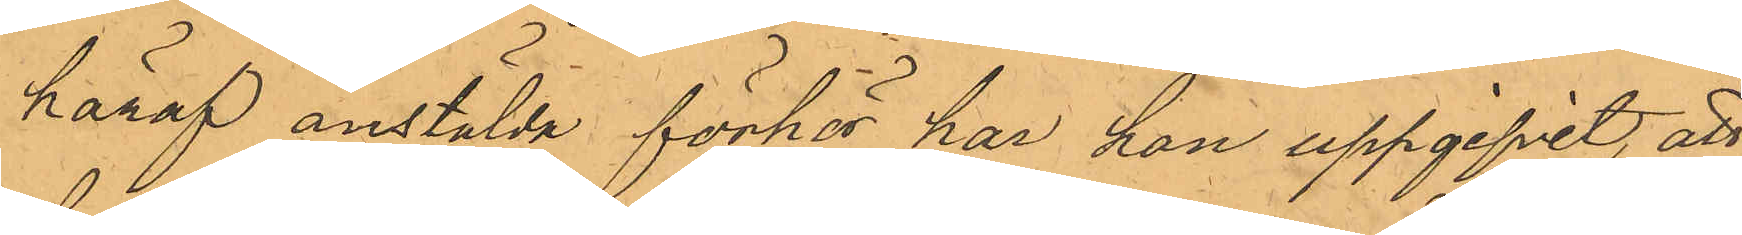häraf anstälda förhör har han uppgifvit, att
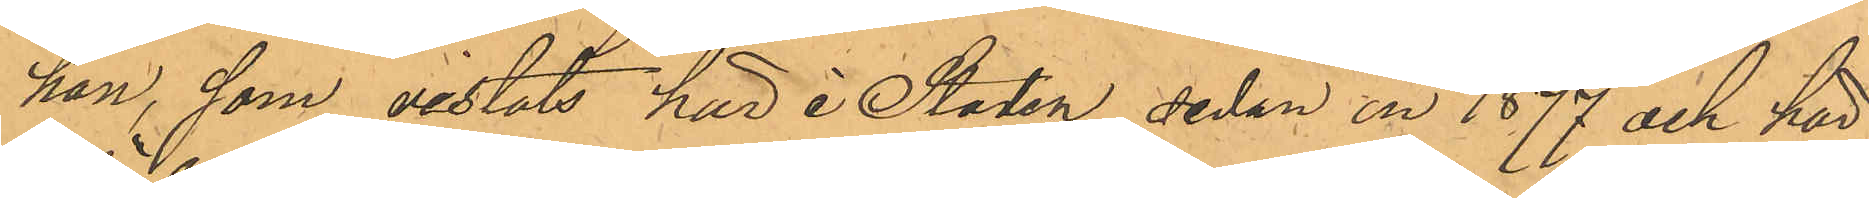han, som vistats här i Staden sedan år 1877 och här¬
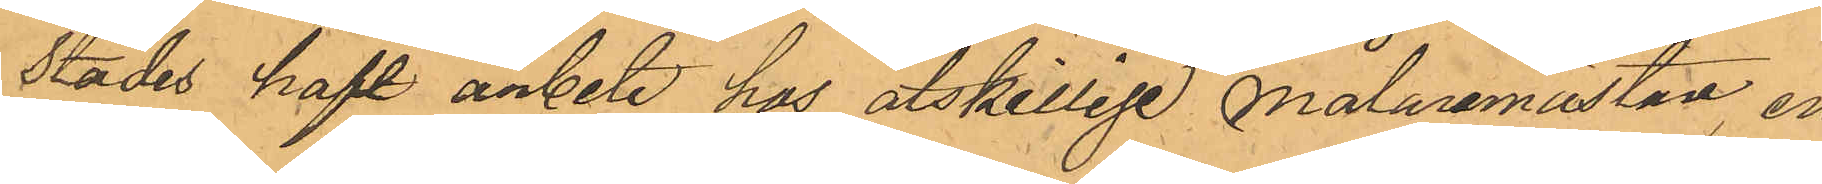städes haft arbete hos åtskillige målaremästare en
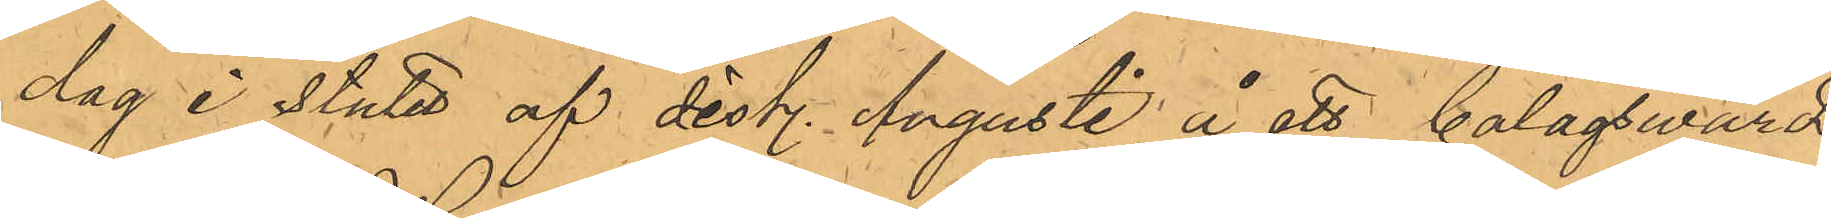dag i slutet af sist. Augusti å ett bolagswärds¬
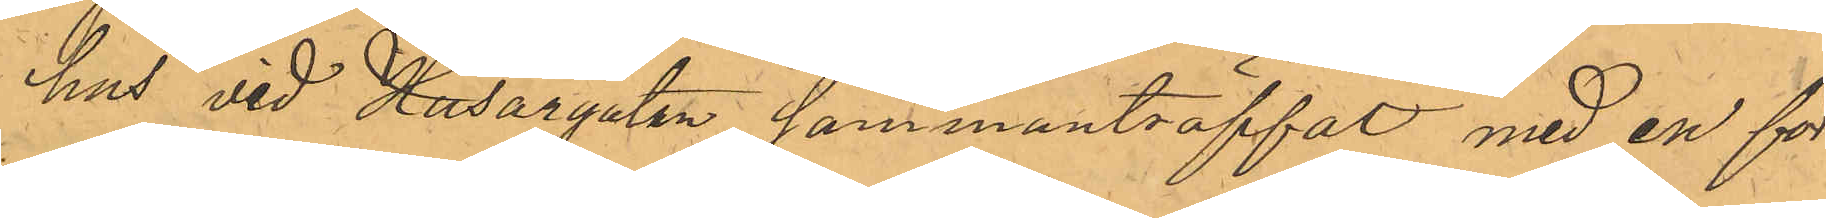hus vid Husargatan sammanträffat med en för
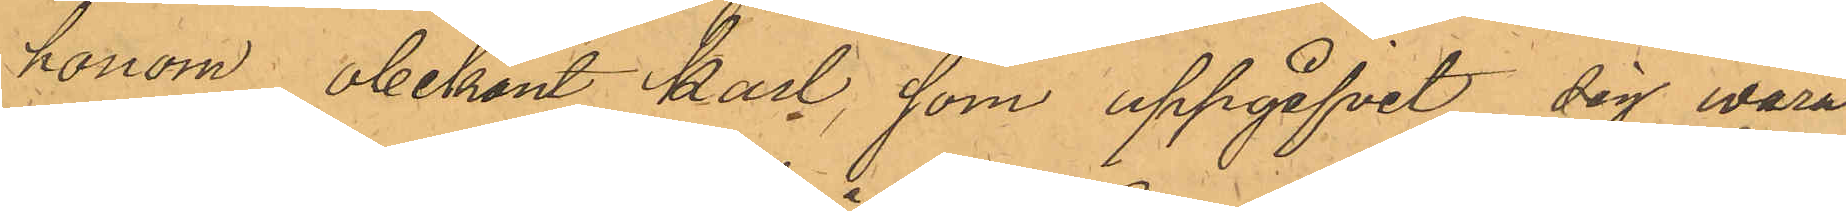honom, obekant karl, som uppgifvit sig wara
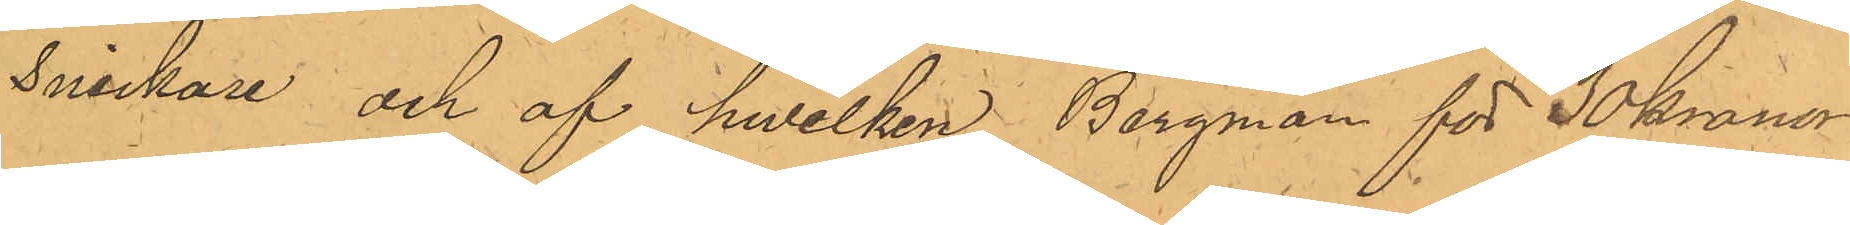Snickare och af hwilken Bergman för 30 kronor
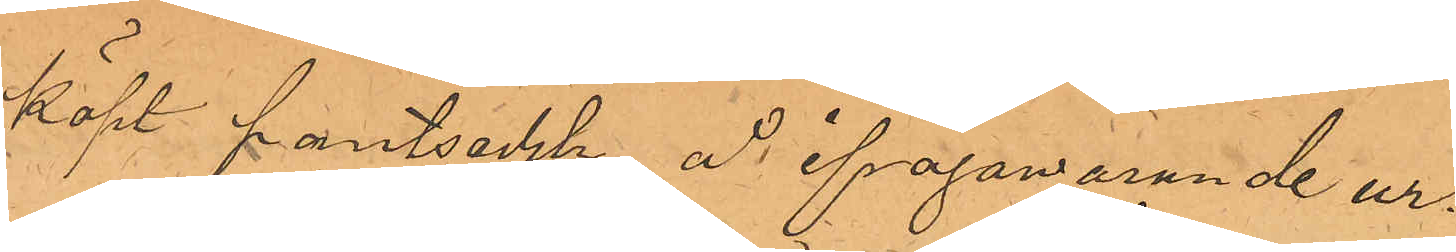köpt pantsedeln å ifrågavarande ur.
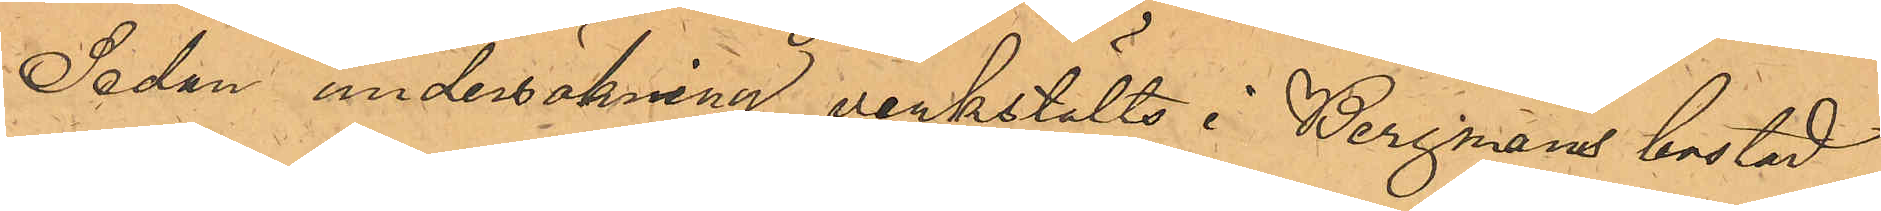Sedan undersökning verkställts i Bergmans bostad
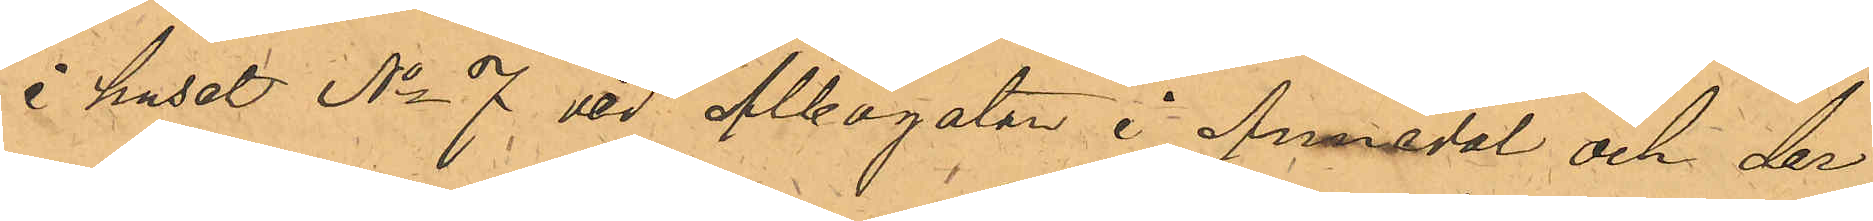i huset No 7 vid Albogatan i Annedal och der¬
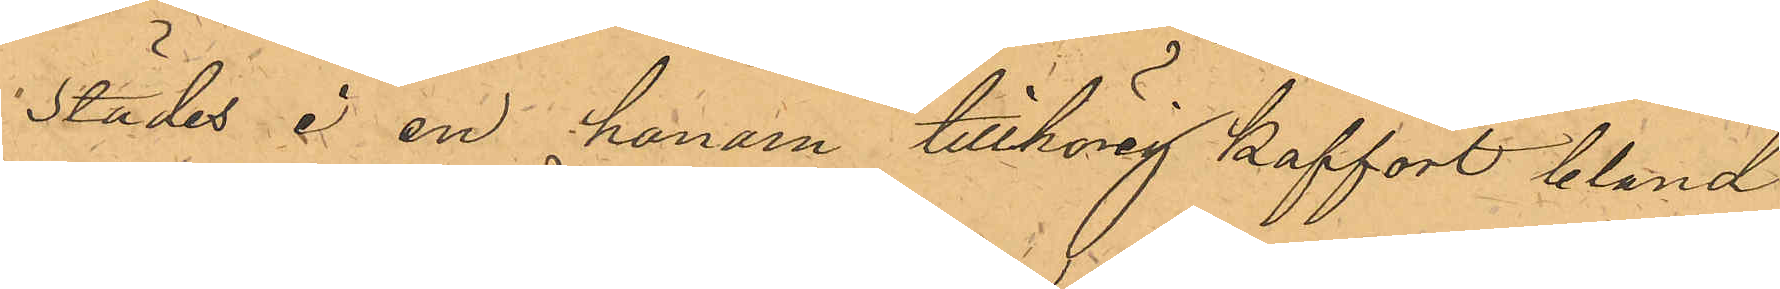städes i en honom tillhörig koffert bland
